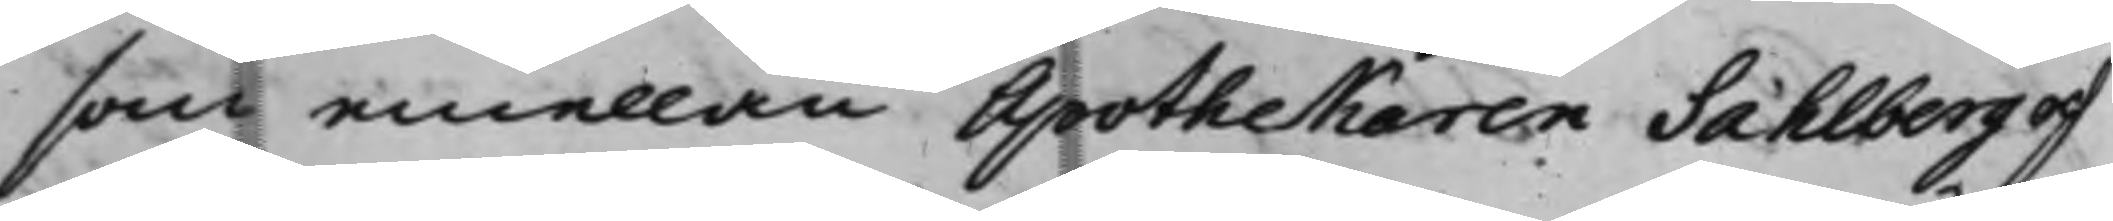som emellan Apothekaren Sahlberg och
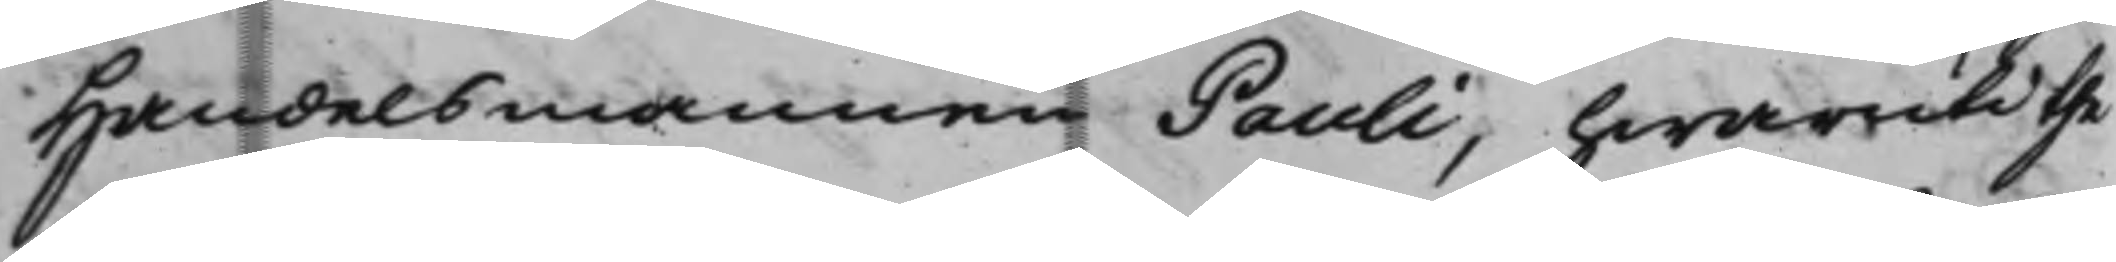Handelsmannen Pauli, hwaruti the
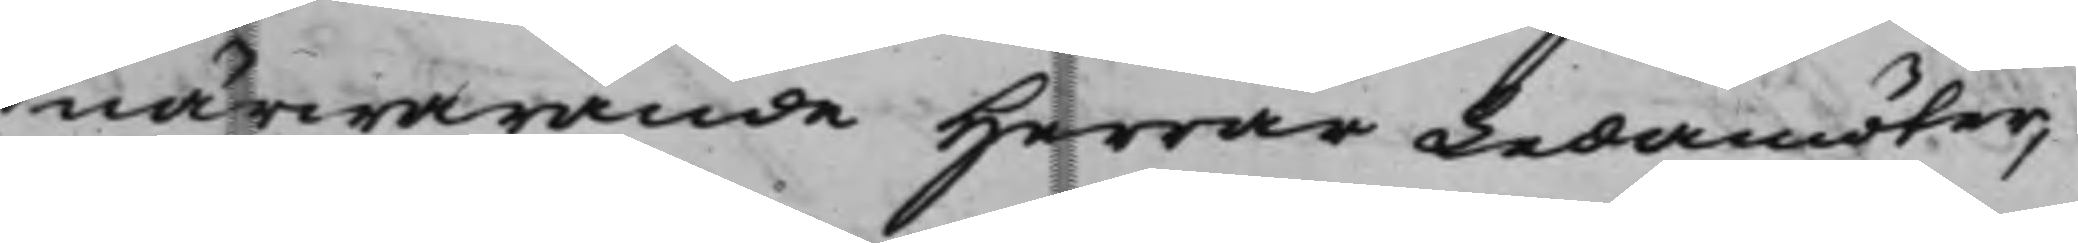närwarande Herrar Ledamöter,
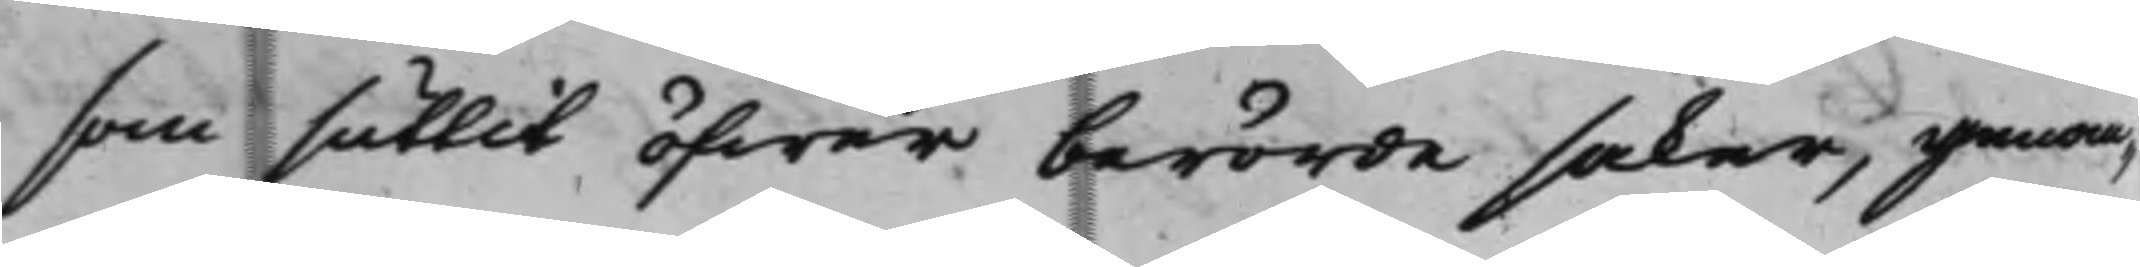som suttit öfwer berörde saker, genom¬
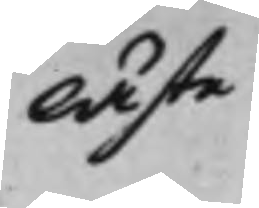läste
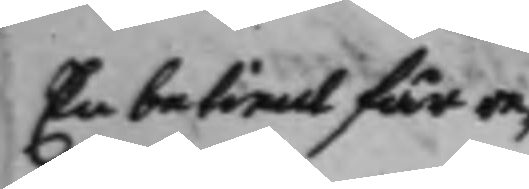En betient får re¬
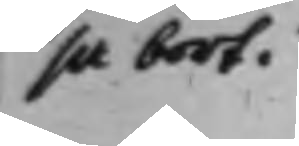sa bort.
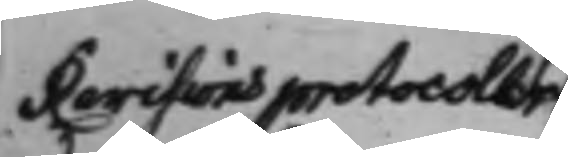Revisionsprotocoller
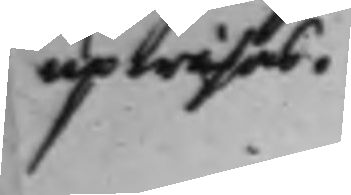upwisas.
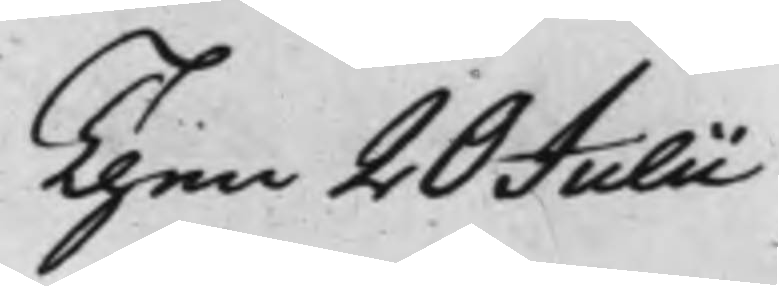Then 20 Julii
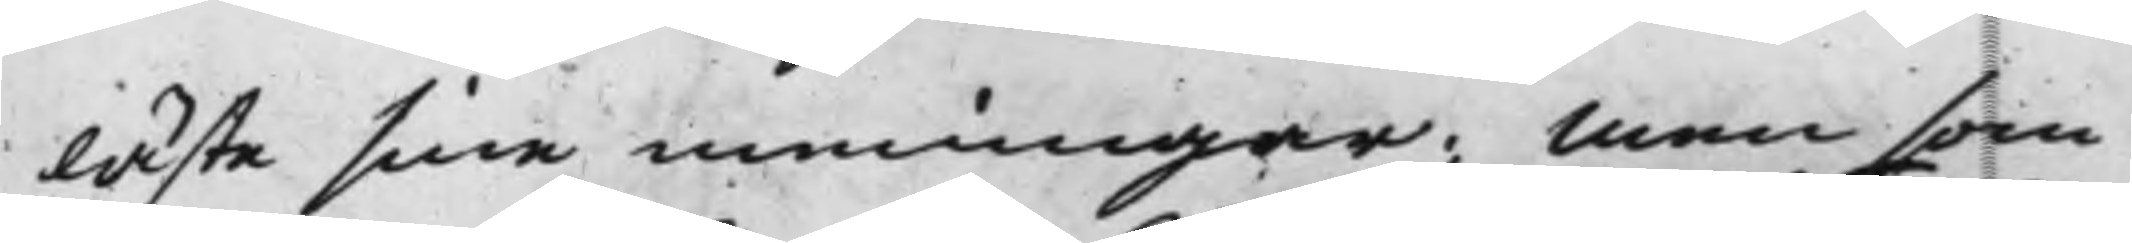läste sine meningar; Men som
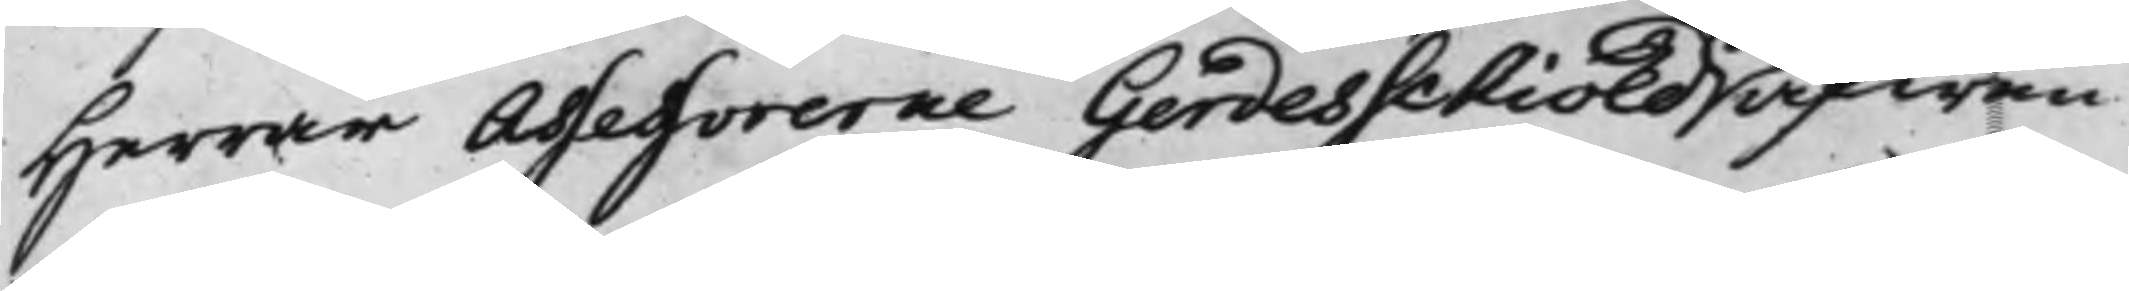Herrar Assessorerne Gardesschiöld äfwen
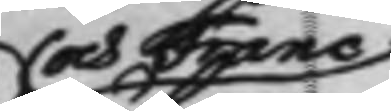och Franc
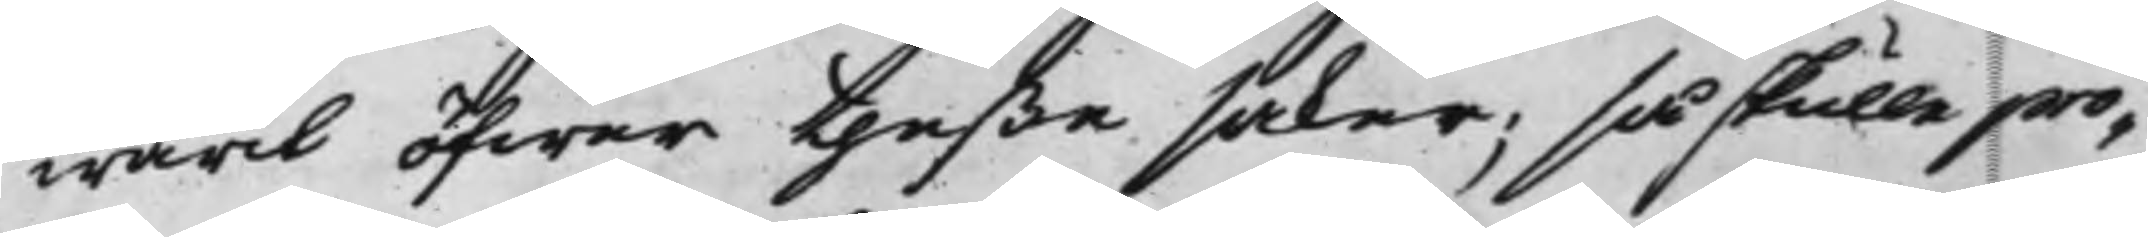warit öfwer theße saker; så skulle pro¬
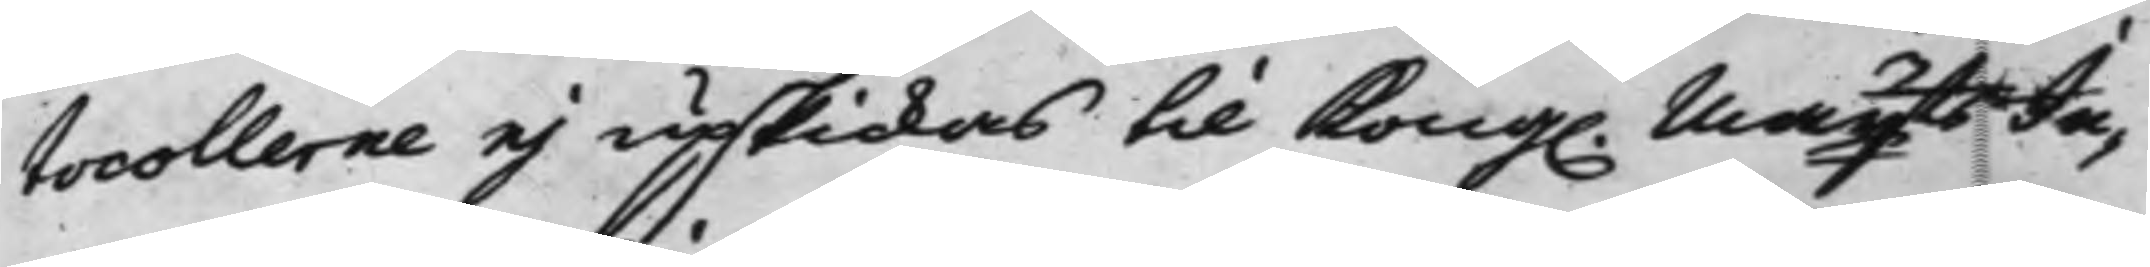tocollerne ej upskickas til Kong. Mayts Ju¬
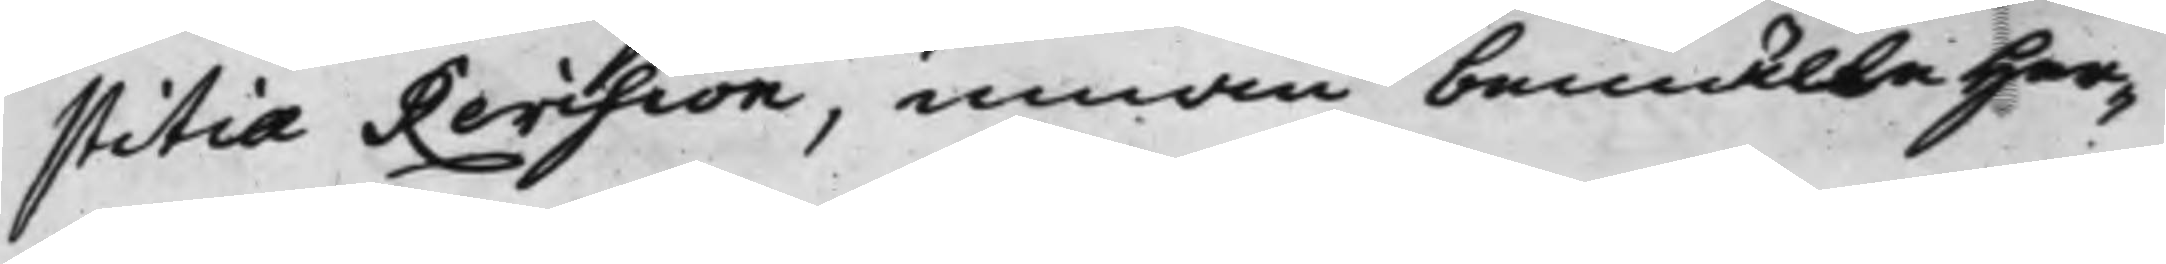stitiæ Revision, innan bemälte Her¬
